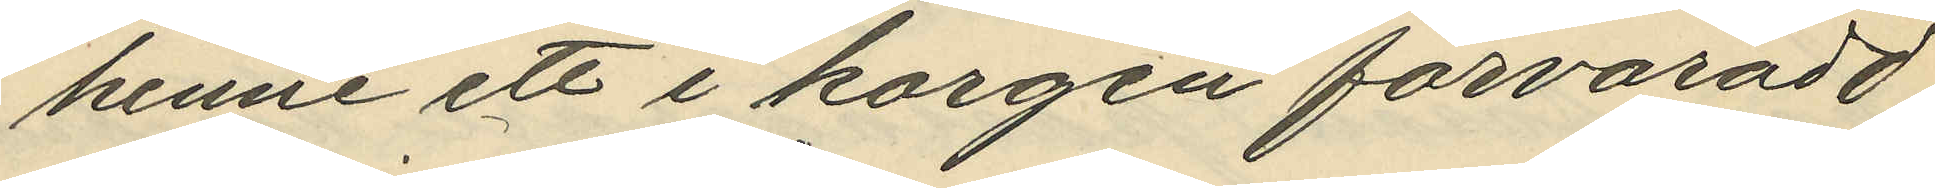henne ett i korgen forvaradt
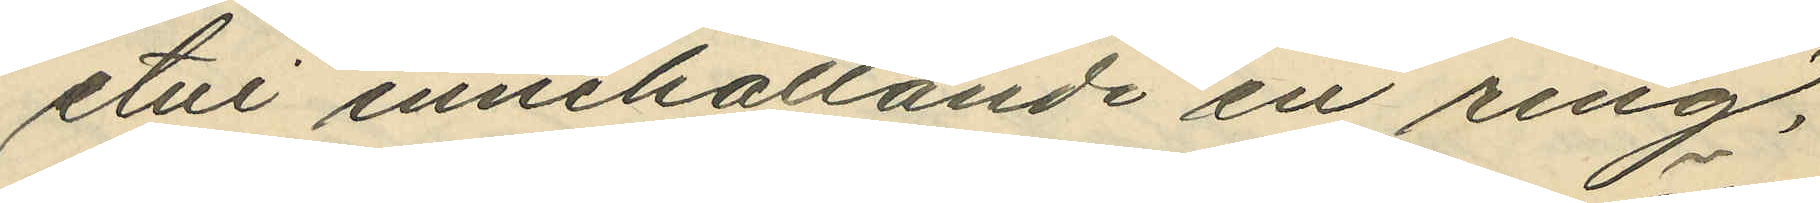etui innehållande en ring,
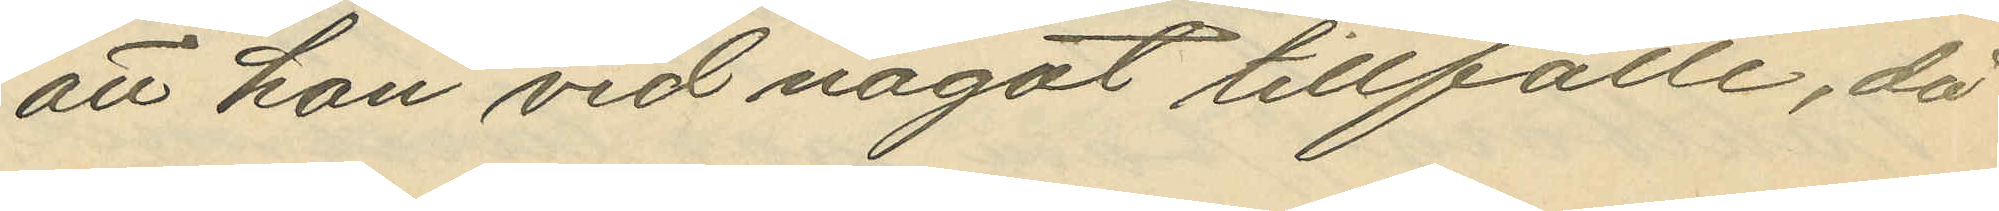att hon vid något tillfälle, då
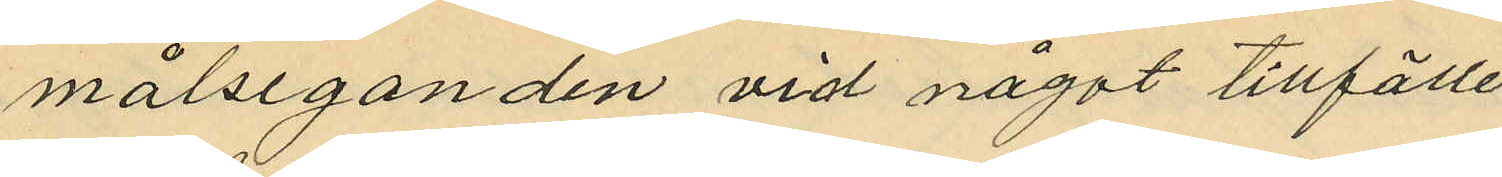målseganden vid något tillfälle
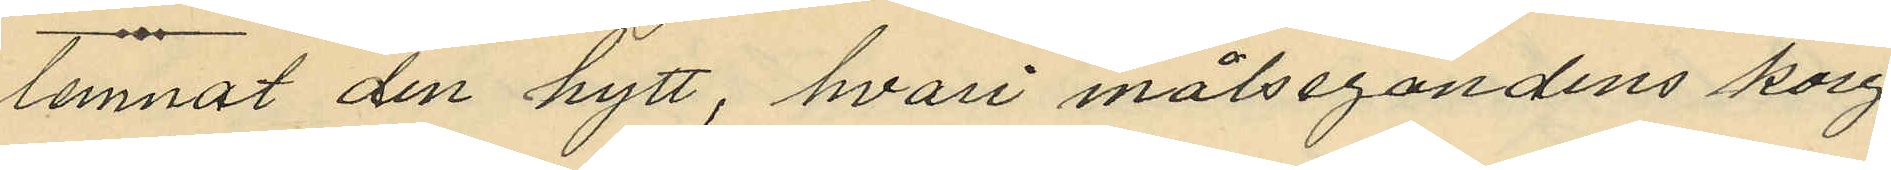lemnat den hytt, hvari målsegandens korg
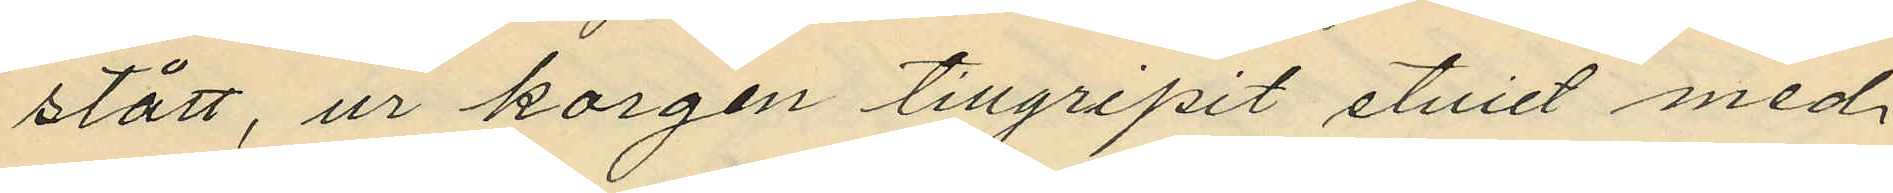stått, ur korgen tillgripit etuiet med
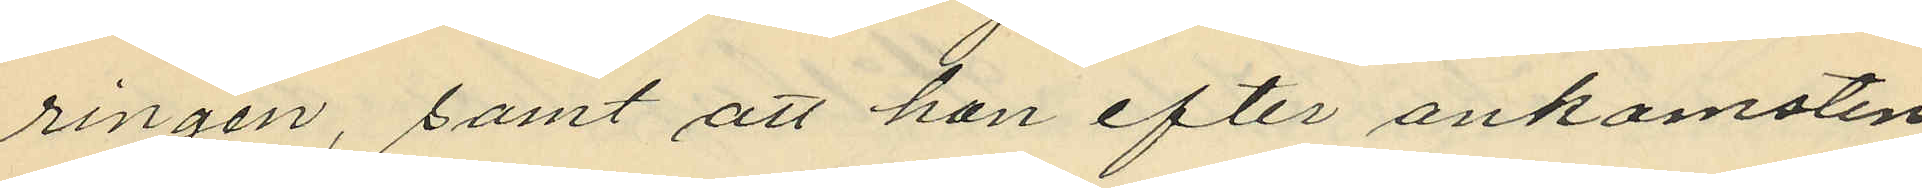ringen, samt att hon efter ankomsten
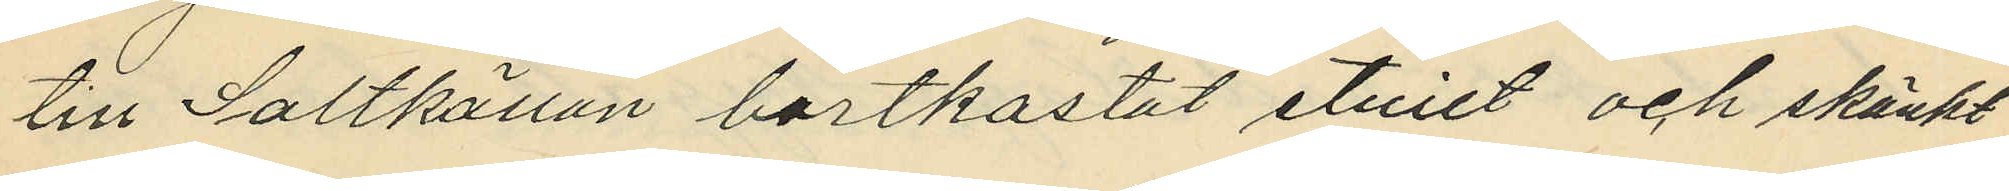still Saltkällan bortkastat etuiet och skänkt
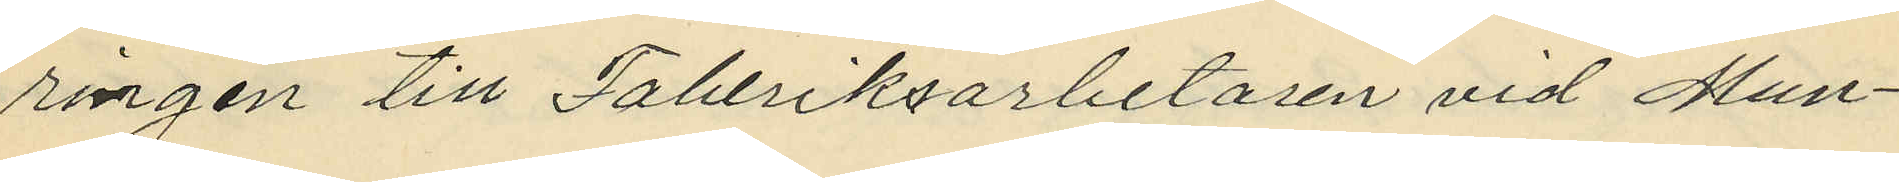ringen till Faberiksarbetaren vid Mun¬
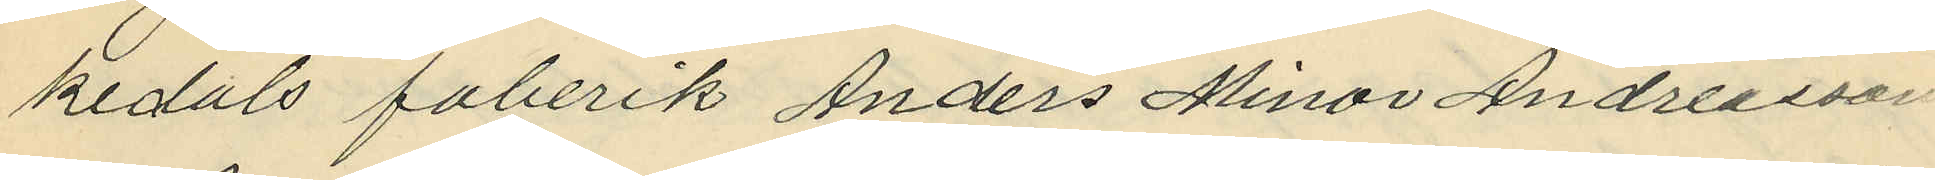kedals faberik Anders Minor Andreasson.
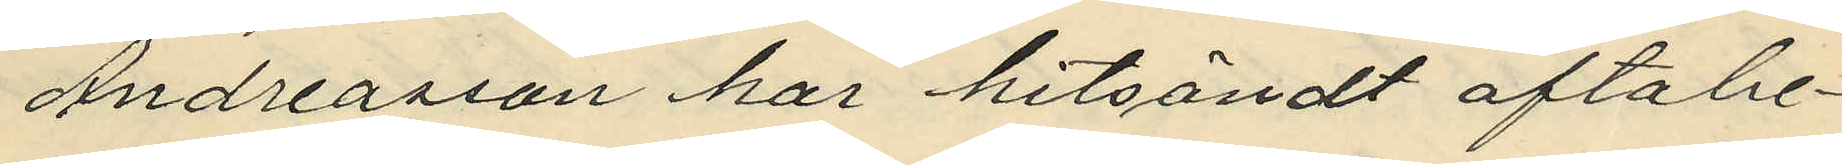Andreasson har hitsändt oftabe¬
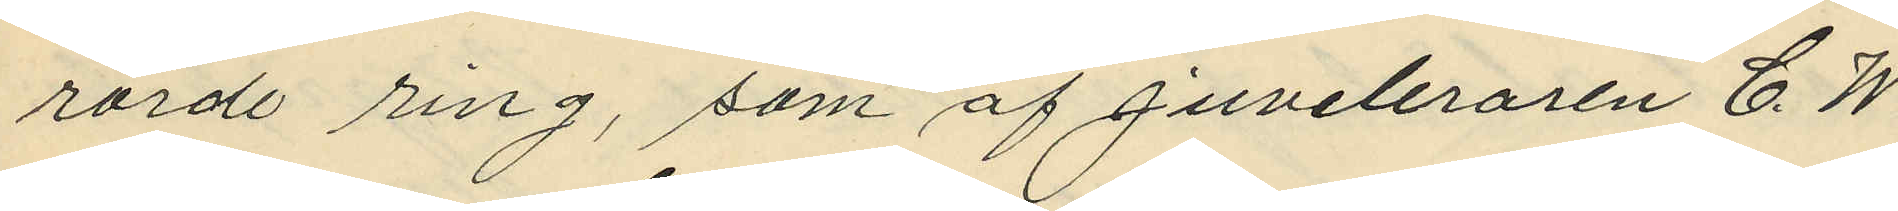rörde ring, som af juveleraren C. W.
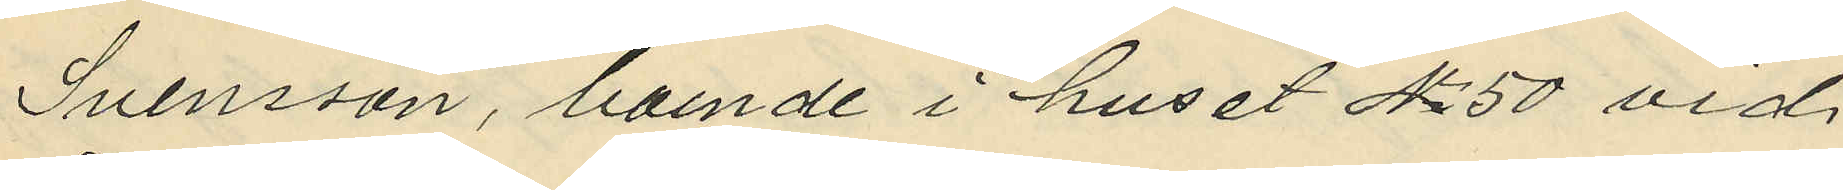Svensson, boende i huset No 50 vid
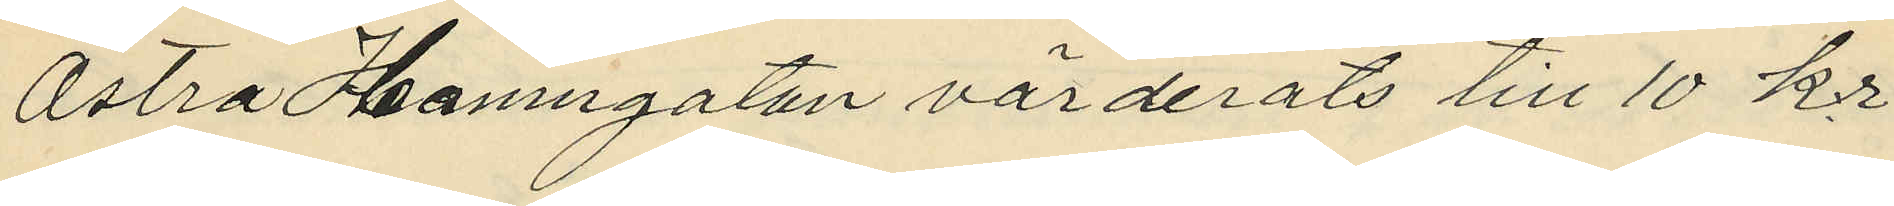Östra Hamngatan värderats till 10 kr.
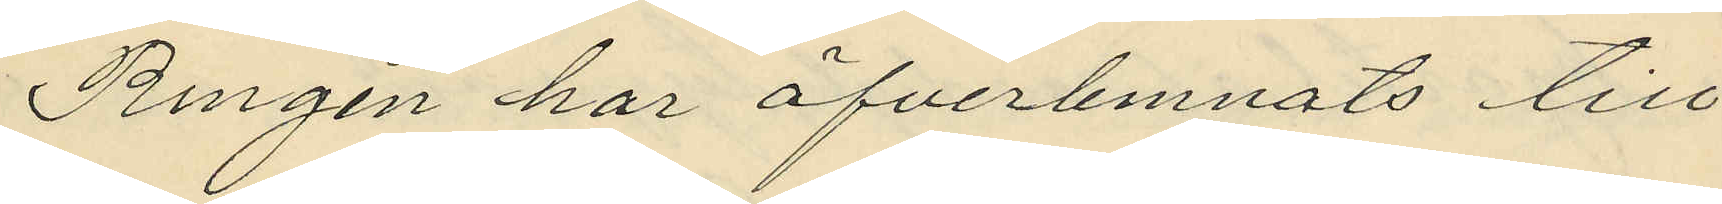Ringen har öfverlemnats till
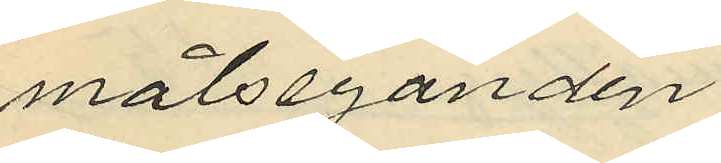målseganden.
